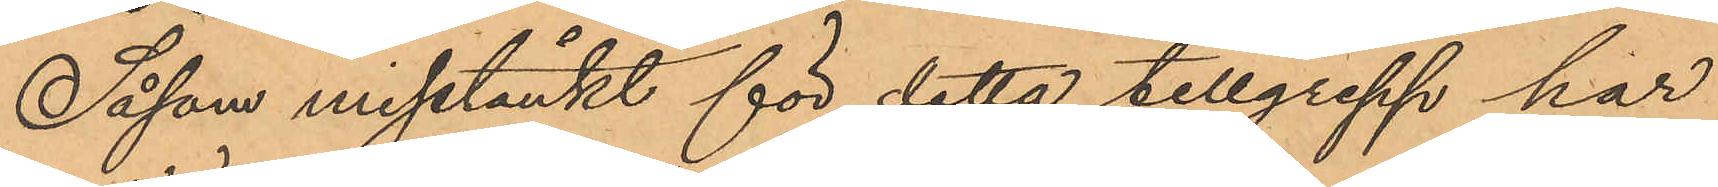Såsom misstänkt för detta tillgrepp har
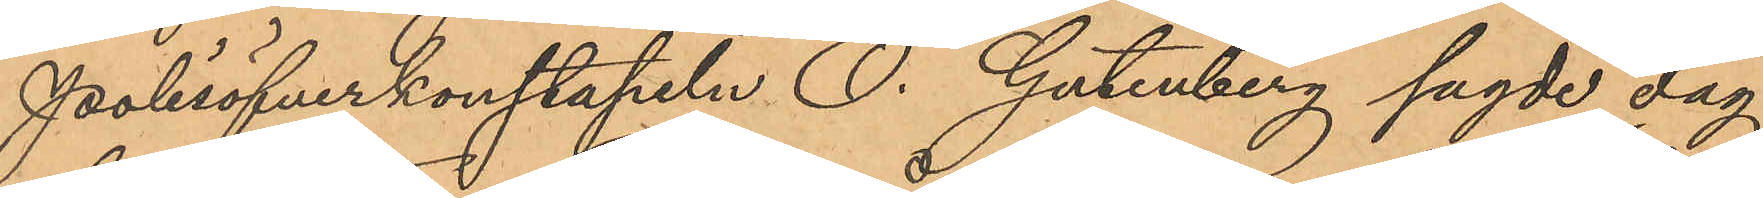Polisöfverkonstapeln O. Gutenberg sagde dag
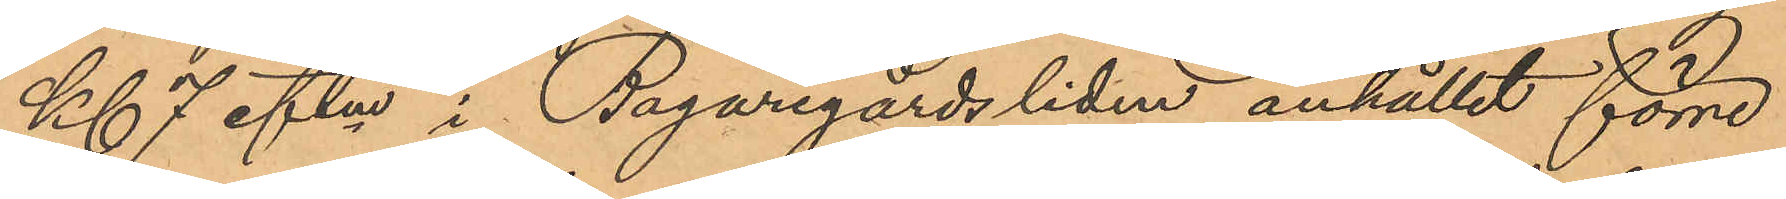Kl 7 eftm i Bagaregårdsliden anhållit förre
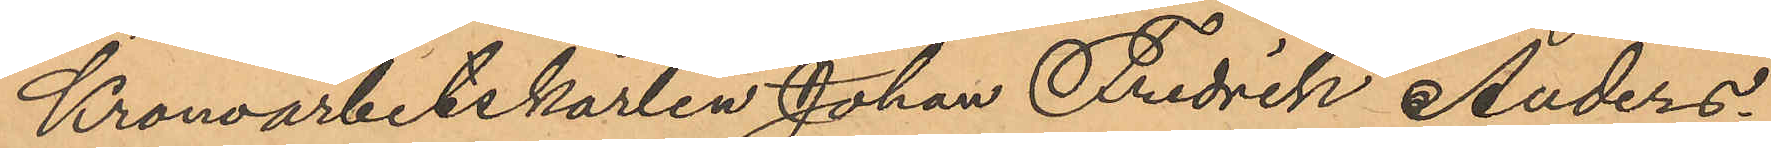Kronoarbetskarlen Johan Fredrik Anders¬
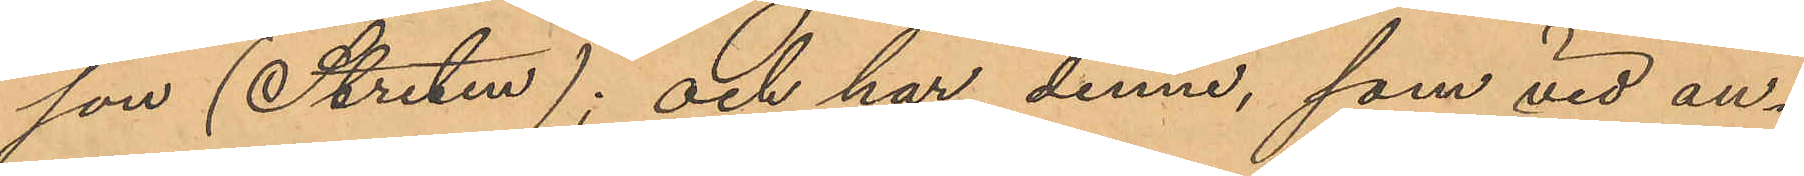son (Streten); och har denne, som vid an¬
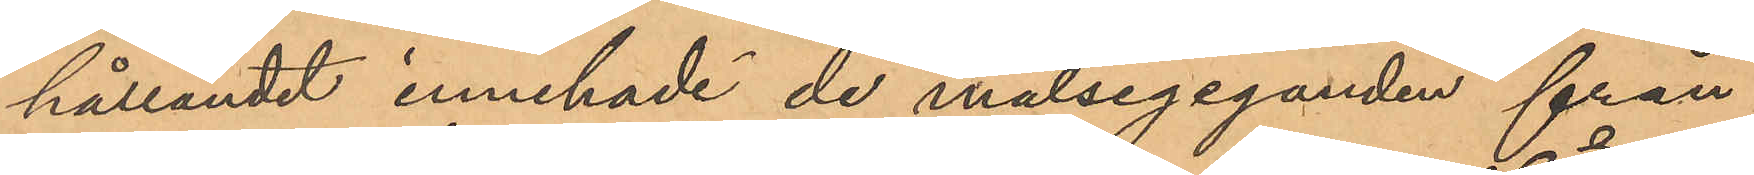hållandet innehade de målsegeganden från¬
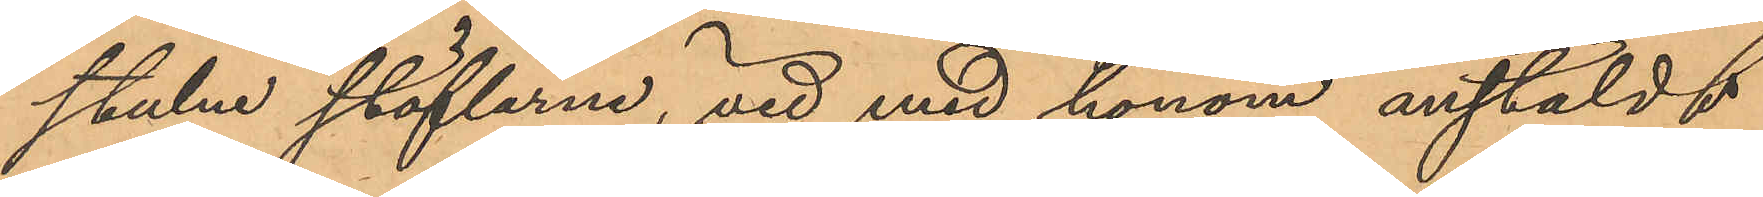stulne stöflarne, vid med honom anstäldt
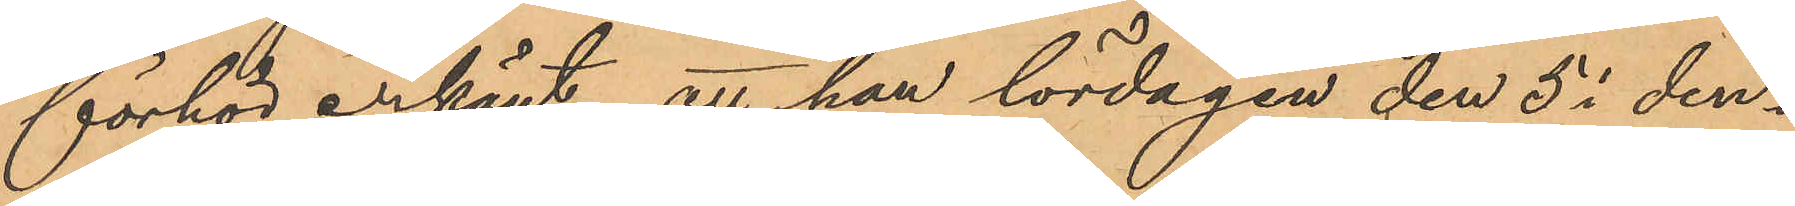förhör erkänt, att han lördagen den 5 i den¬
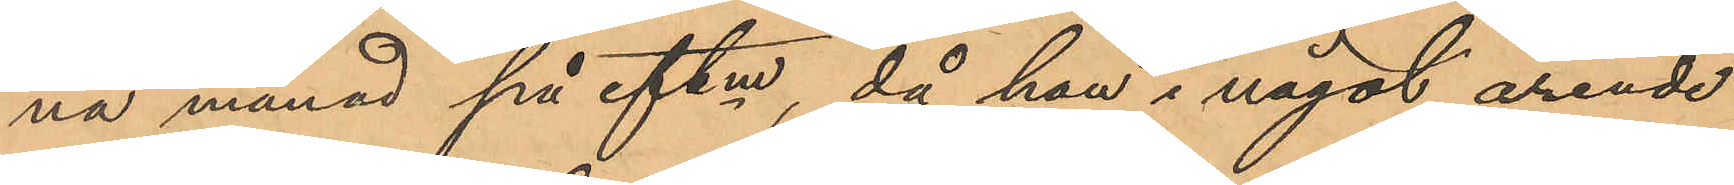na månad på eftm, då han i något ärende
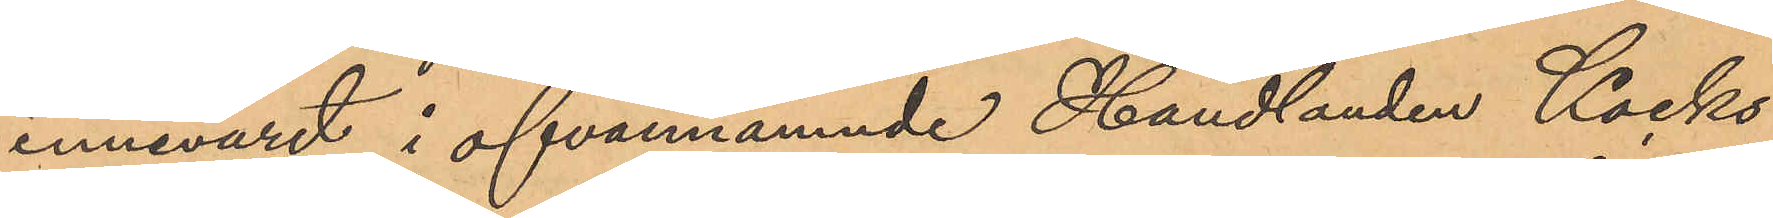innevarit i ofvannämnde Handlanden Kocks
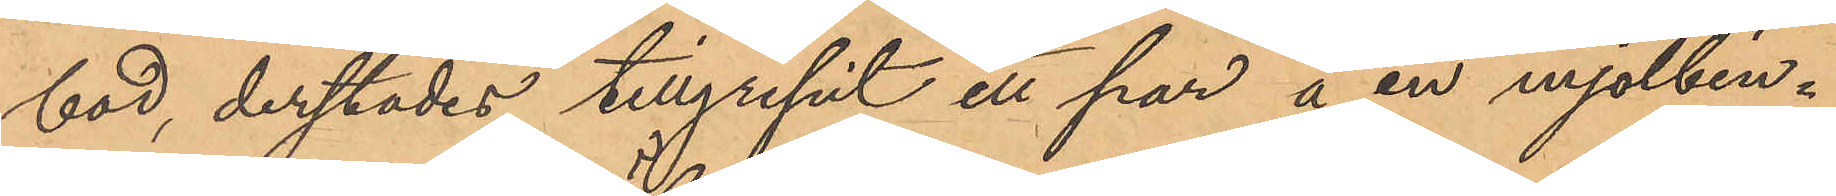bod, derstädes tillgripit ett par å en mjölbin¬
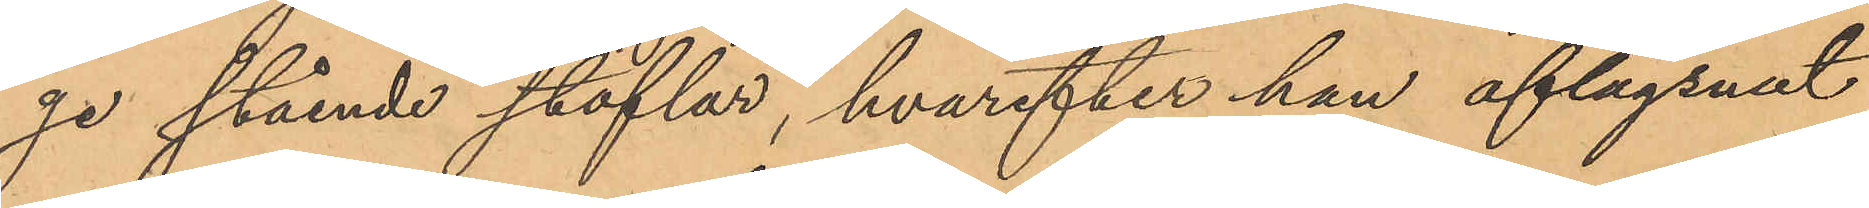ge stående stöflar, hvarefter han aflägsnat
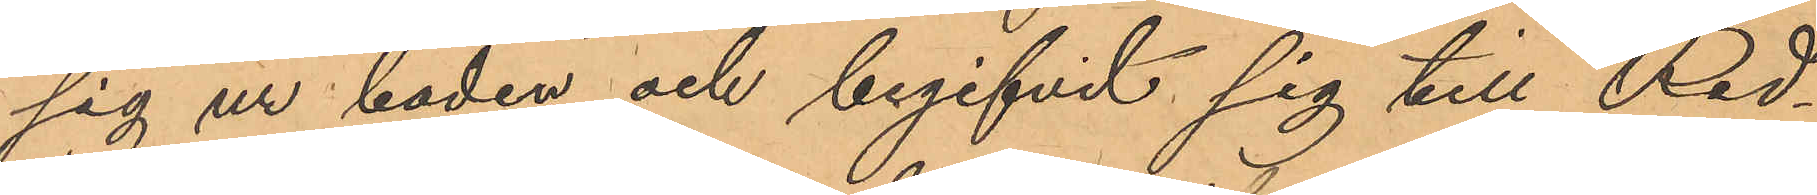sig ur boden och begifvit sig till Red¬
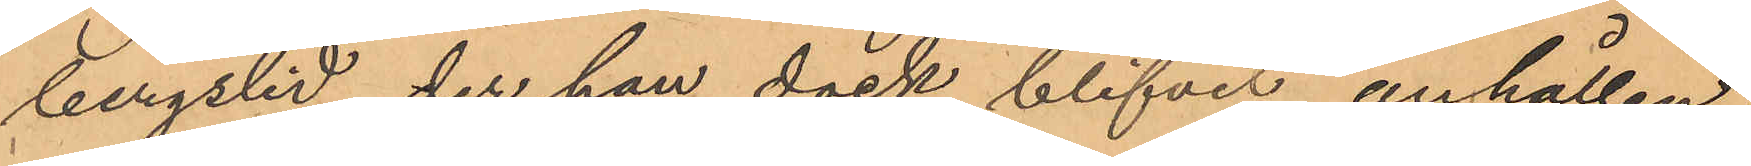bergslid, der han dock blifvit anhållen.
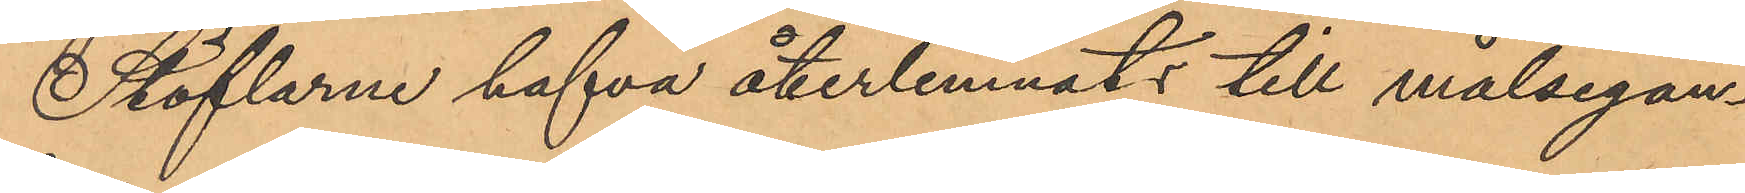Stöflarne hafva återlemnats till målsegan¬
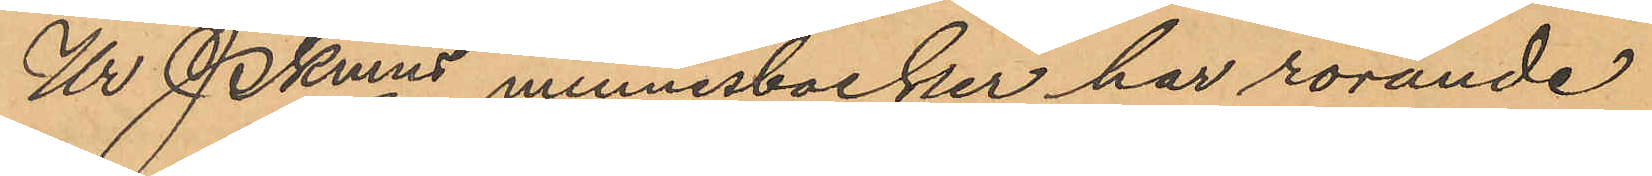Ur Pkmns minnesböcker har rörande
